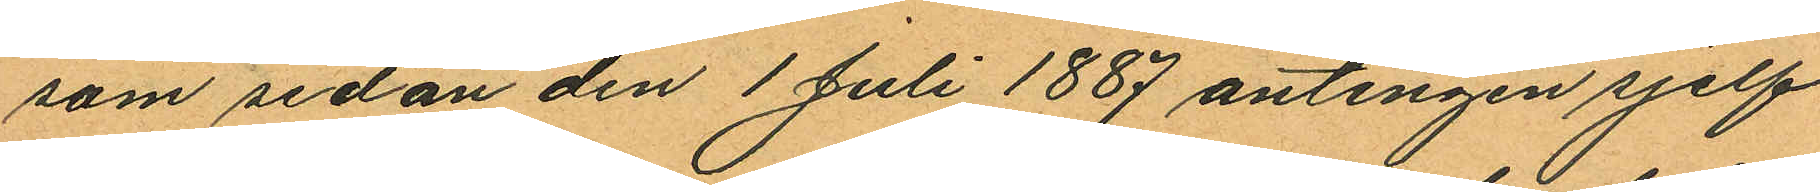som sedan den 1 Juli 1887 antingen sjelf
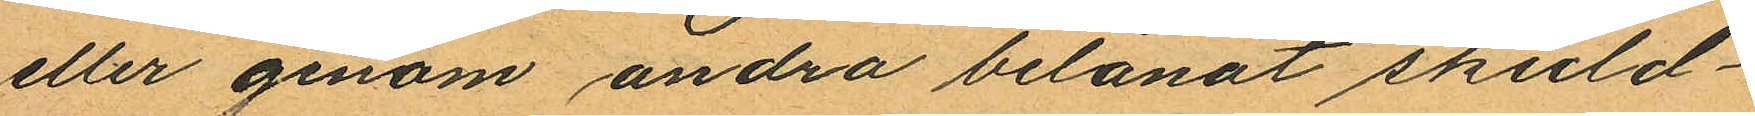eller genom andra belånat skuld¬
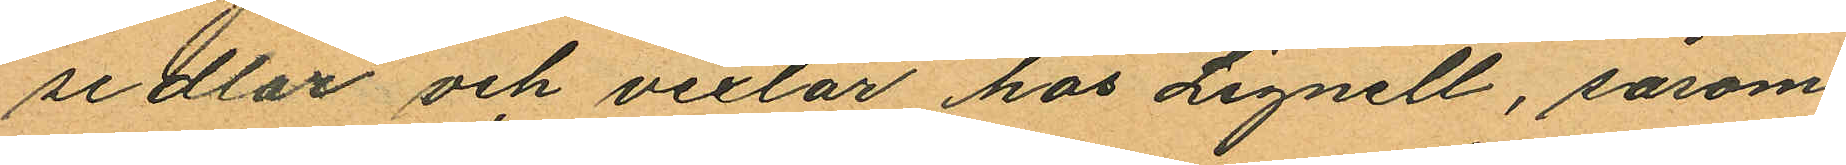sedlar och vexlar hos Lignell, såsom
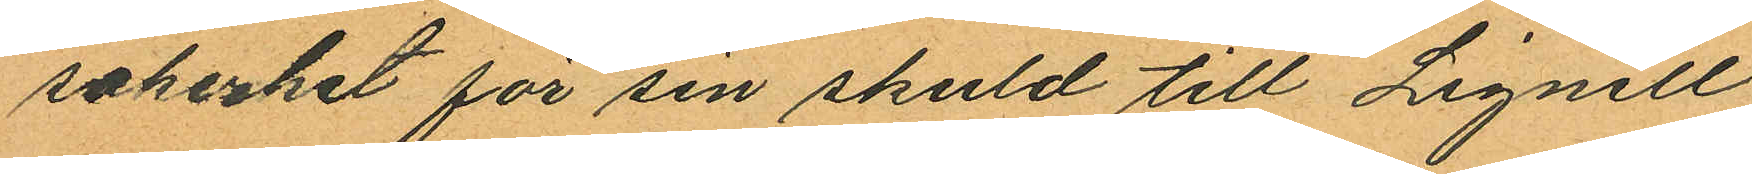sakerhet för sin skuld till Lignell
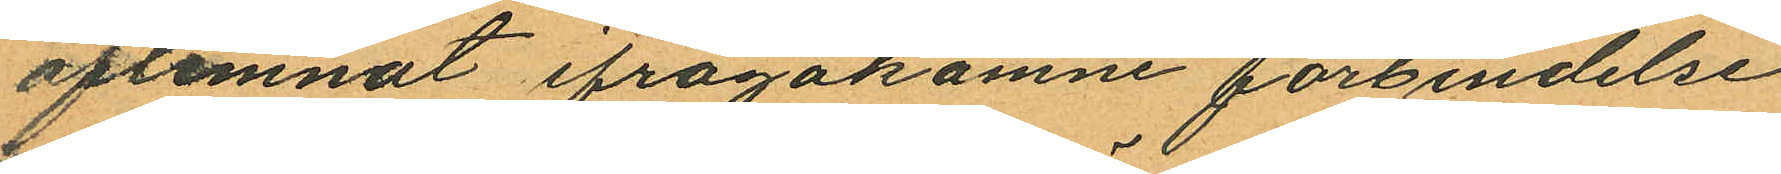aflemnat ifrågakomne förbindelse
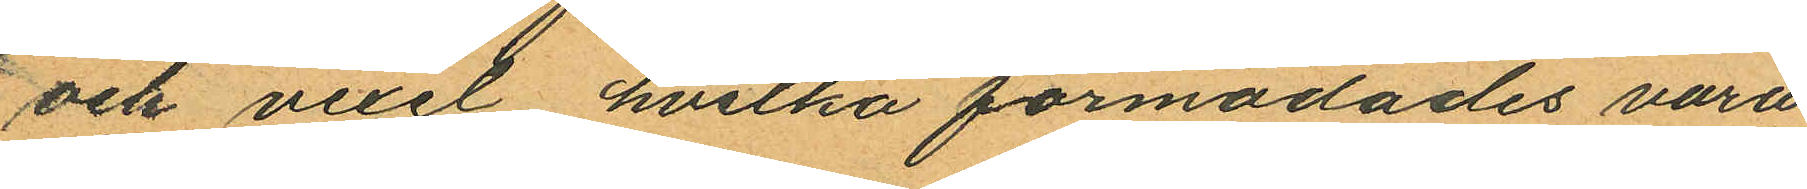och vexel hvilka förmodades vara
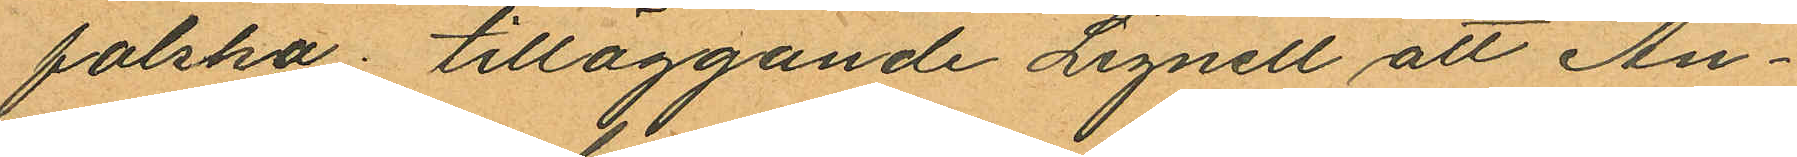falska. tilläggande Lignell att An¬
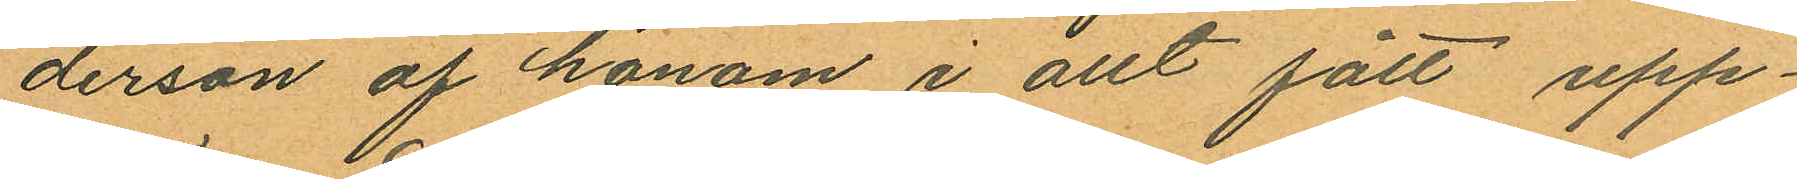derson af honom i allt fått upp¬
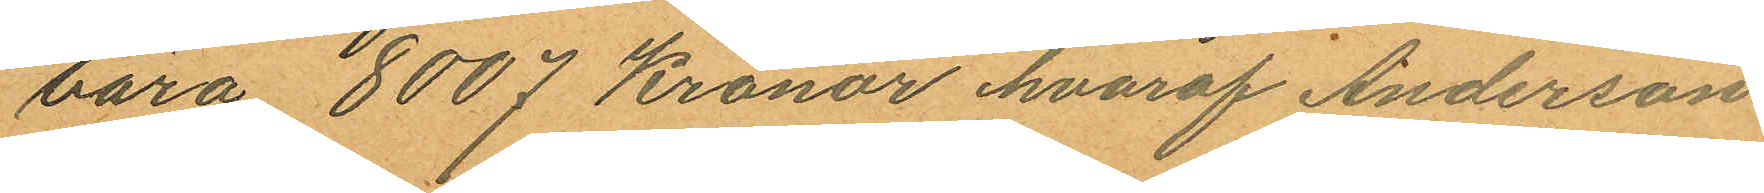bära 8007 Kronor hvaraf Anderson
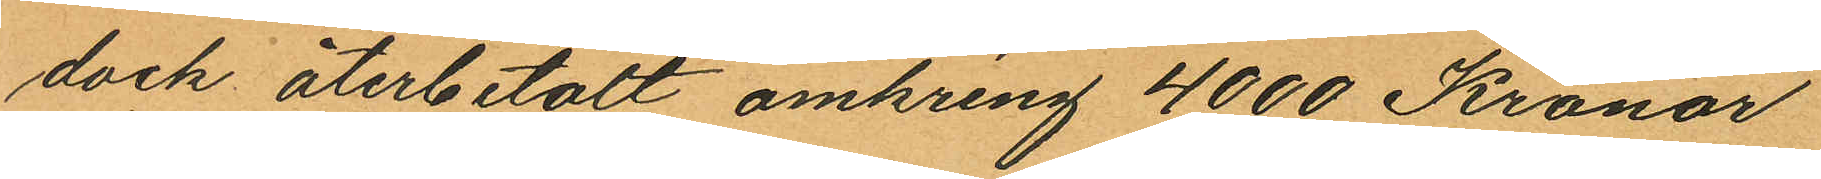dock återbetalt omkring 4000 Kronor
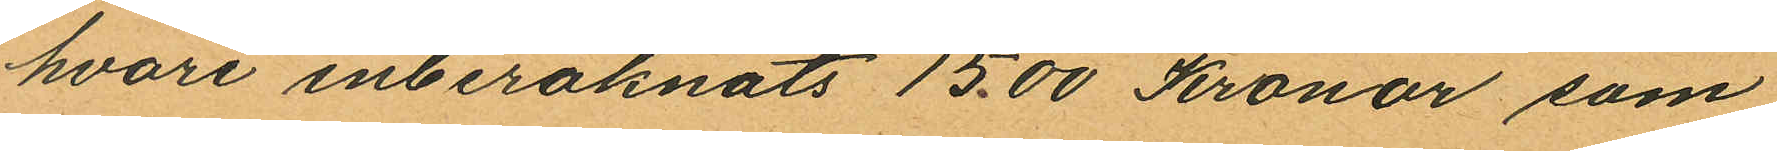hvari inberäknats 15.00 Kronor som
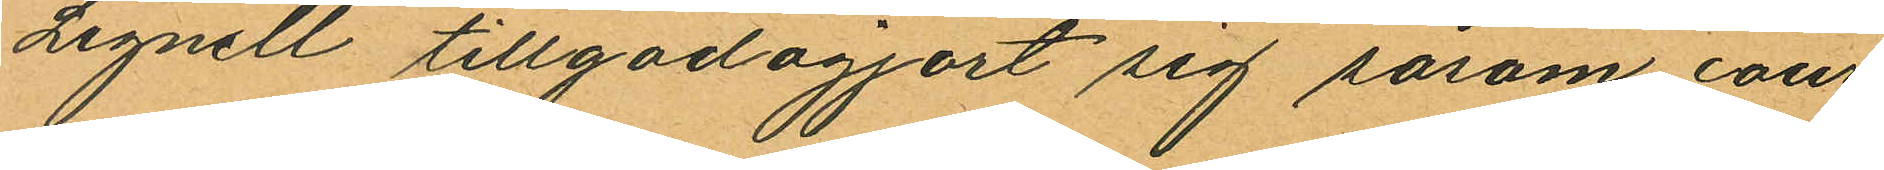Lignell tillgodogjort sig såsom cour
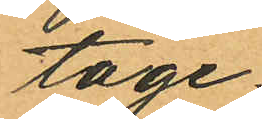tage.
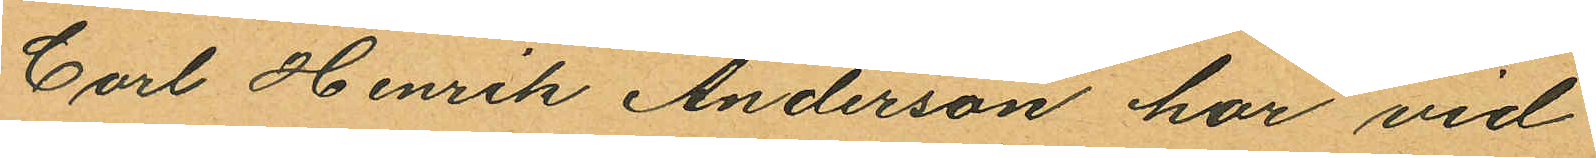Carl Henrik Anderson har vid
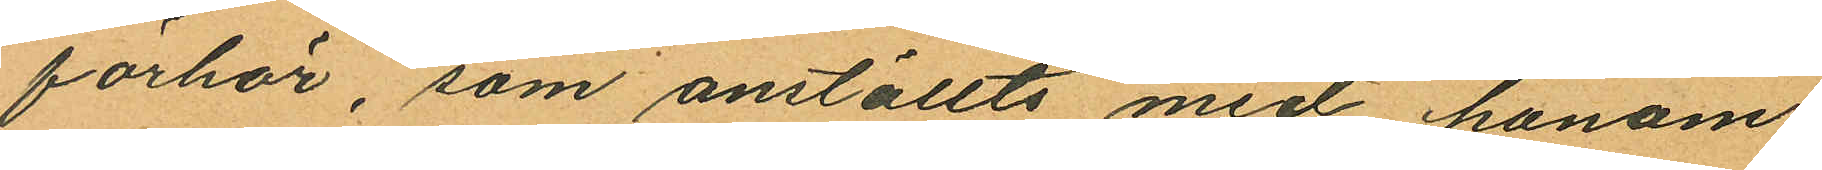förhör, som anställts med honom
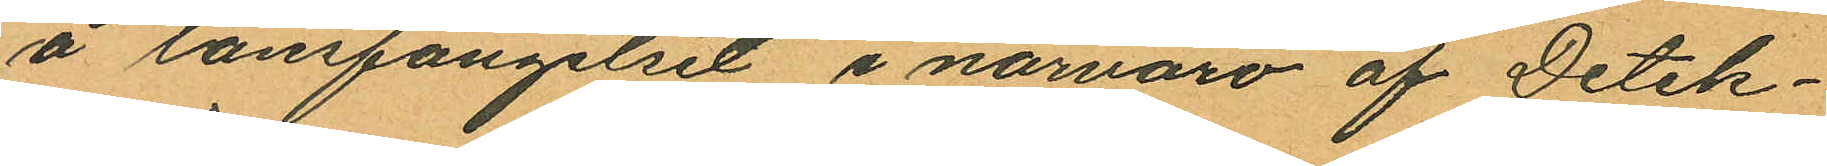å länsfängelset i närvaro af Detek¬
